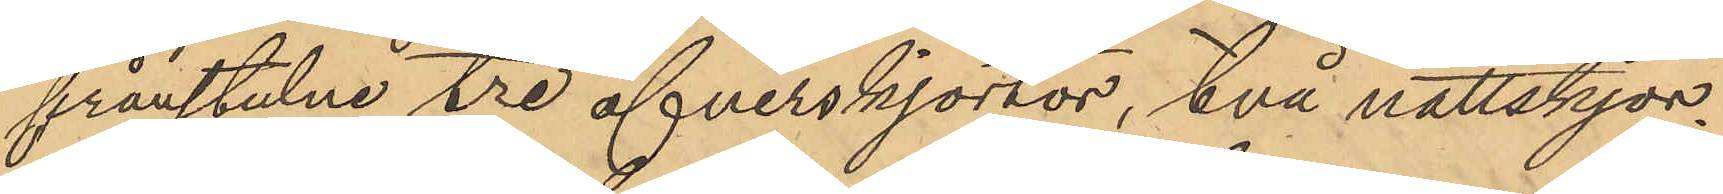frånstulne tre öfverskjortor, två nattskjor¬
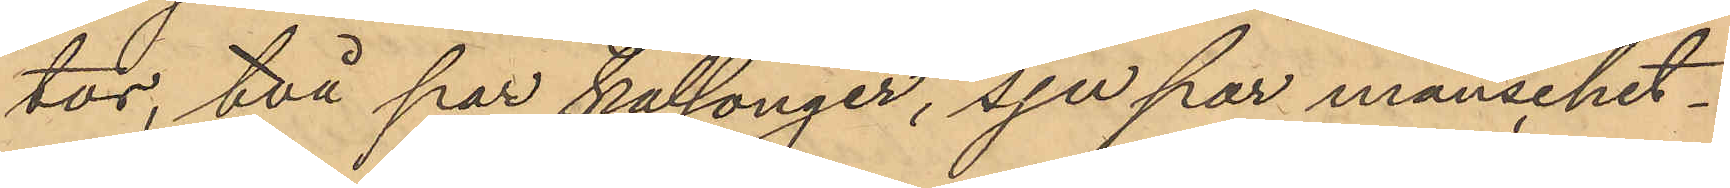tor, två par kalsonger, sju par manschet¬
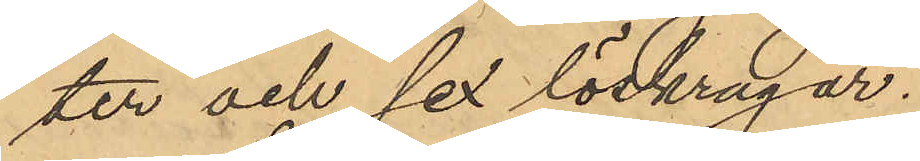ter och sex löskragar.
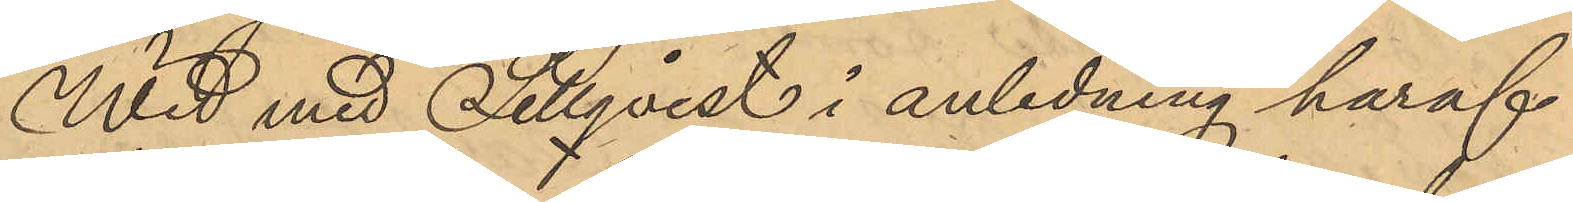Wid med Sellqvist i anledning häraf
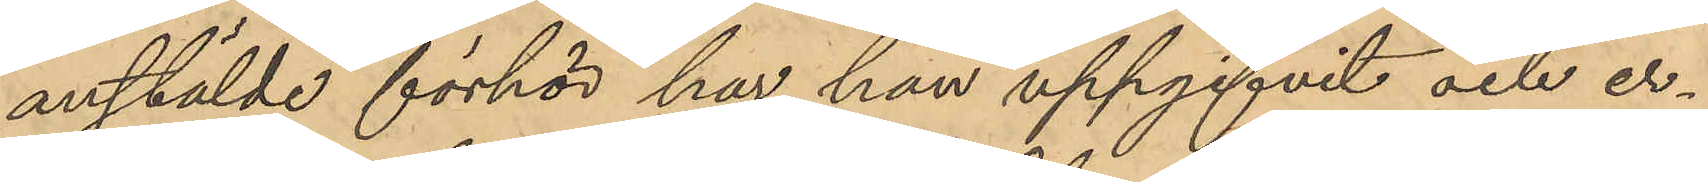anstälde förhör har han uppgifvit och er¬
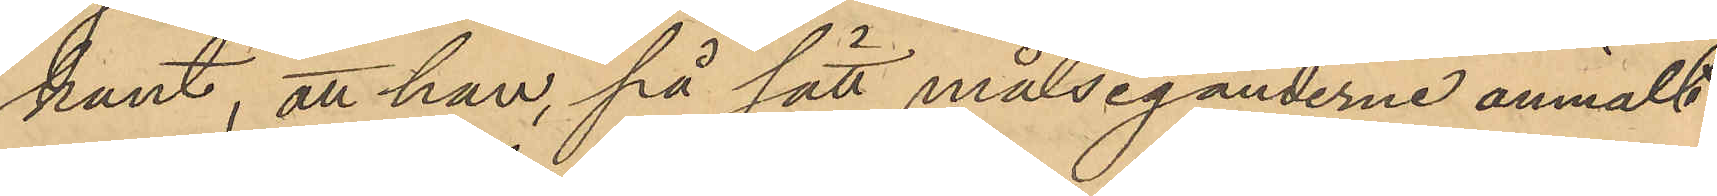känt, att han, på sätt målseganderne anmält
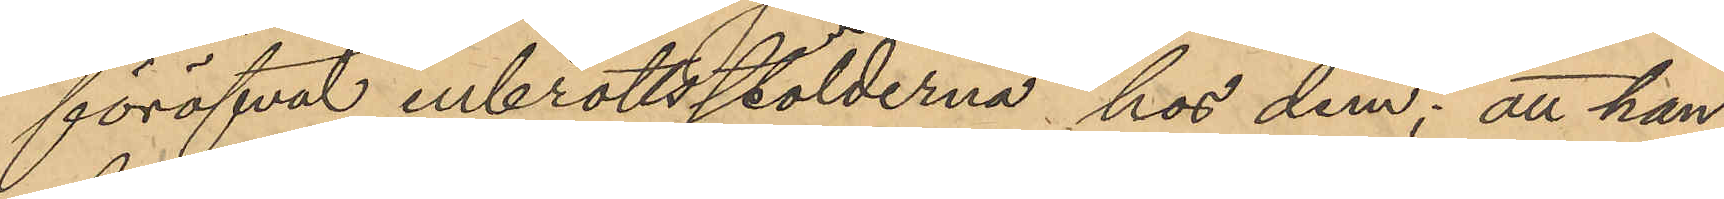föröfvat inbrottsstölderna hos dem; att han
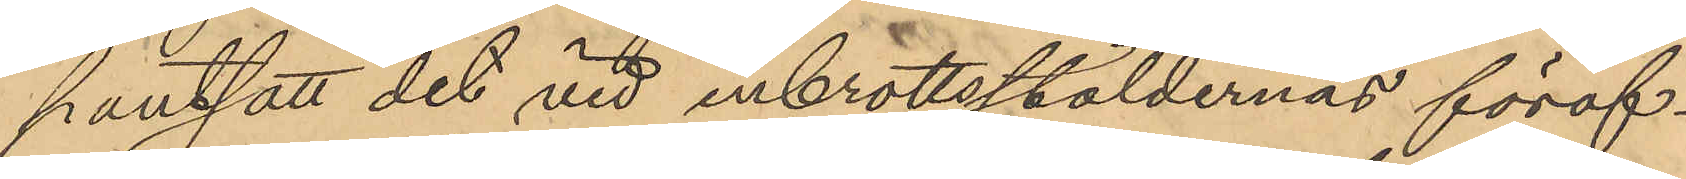pantsatt det vid inbrottsstöldernas föröf¬
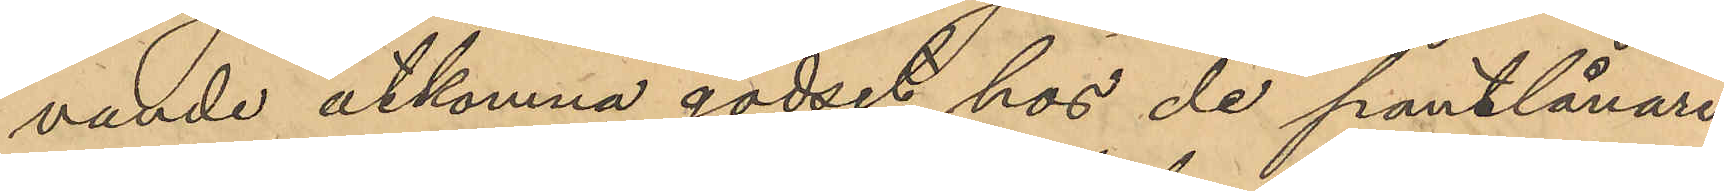vande åtkomna godset hos de pantlånare
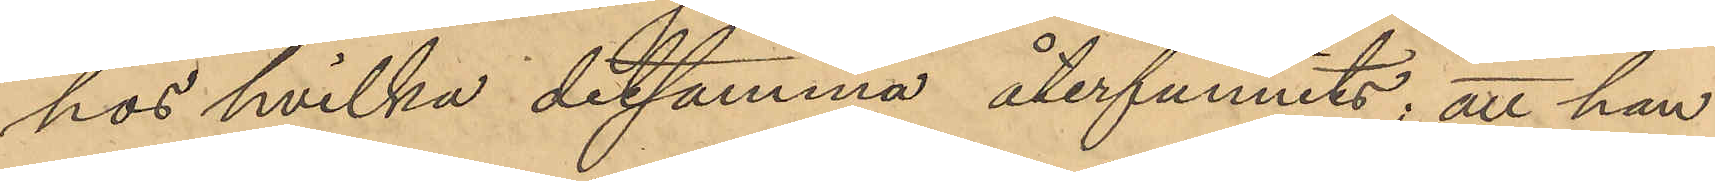hos hvilka detsamma återfunnits; att han
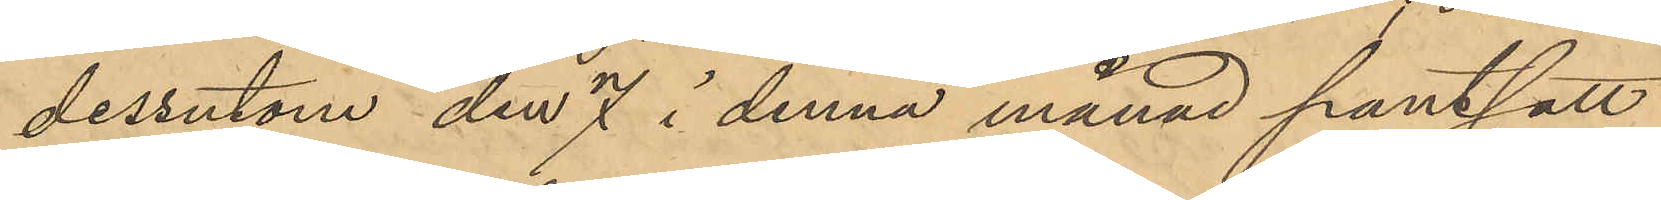dessutom den 7 i denna månad pantsatt
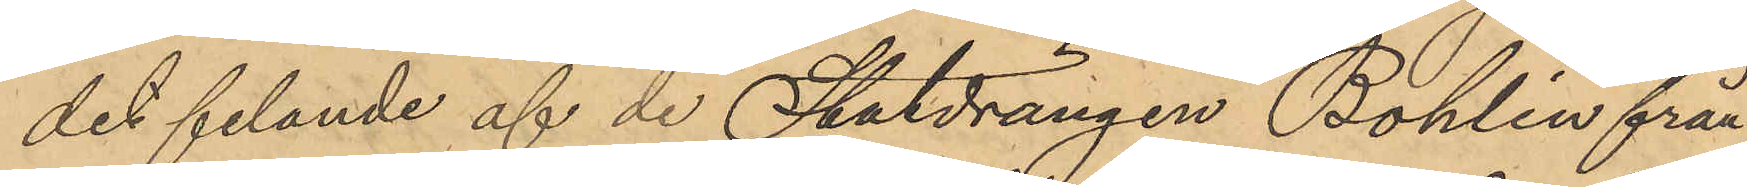det felande af de Statdrängen Bohlin från¬
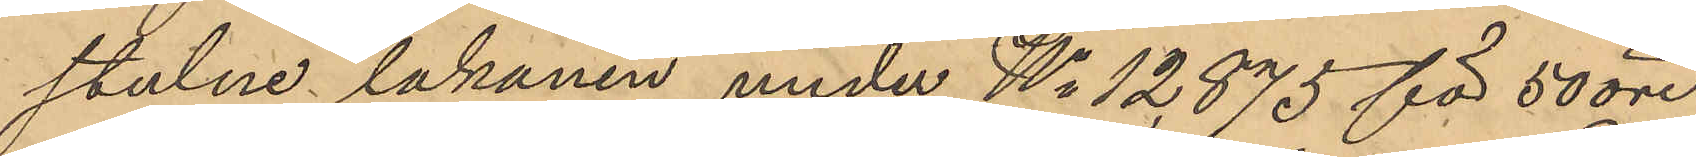stulne lakanen under No 12875 för 50 öre
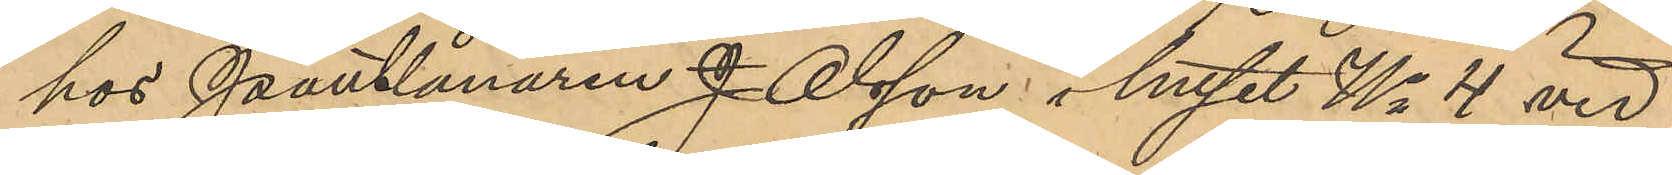hos Pantlånaren J. Olsson i huset No 4 vid
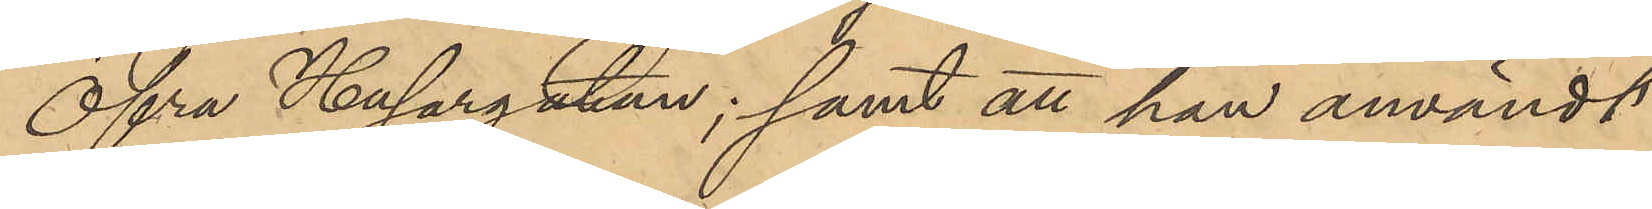Öfra Husargatan; samt att han användt
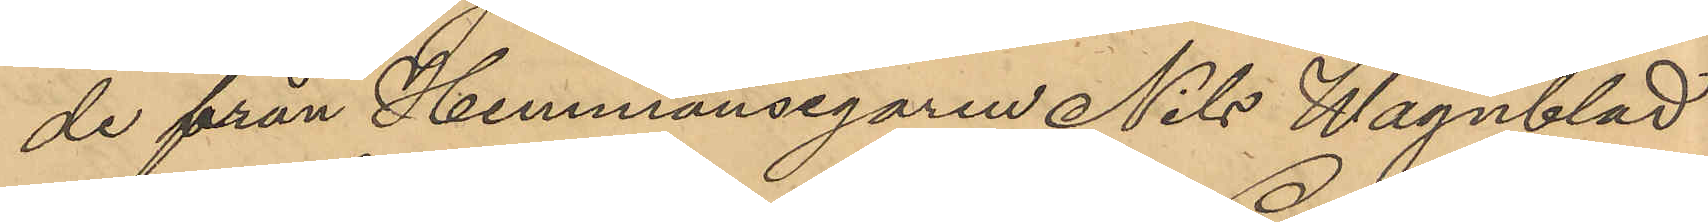de från Hemmansegaren Nils Wagnblad
